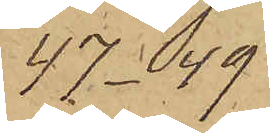47- 49
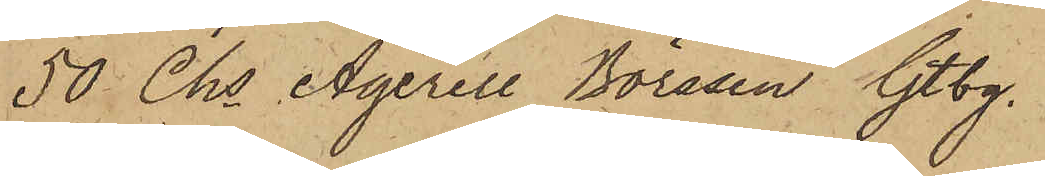50 ChsAgerell Börssen Gtbg
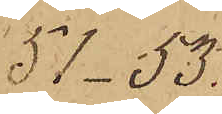51 - 53.
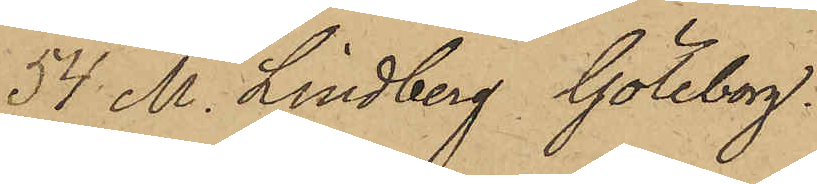54. M. Lindberg Göteborg.
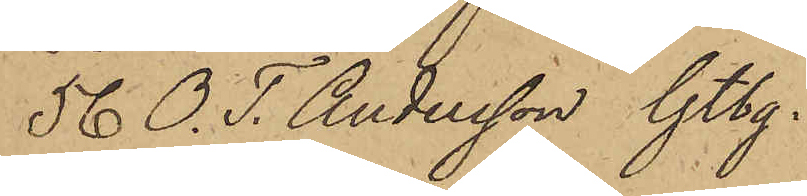56 O. T. Andersson Gtbg.
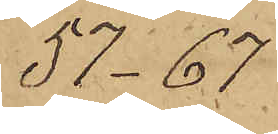57 - 67
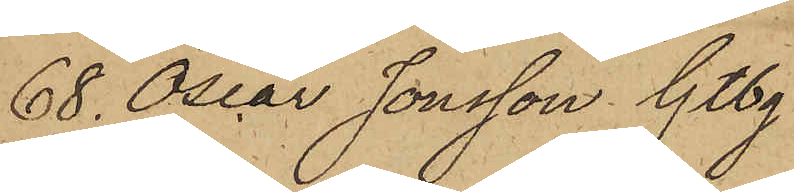68. Oscar Jönsson Gtbg
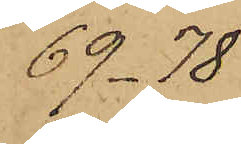69 - 78
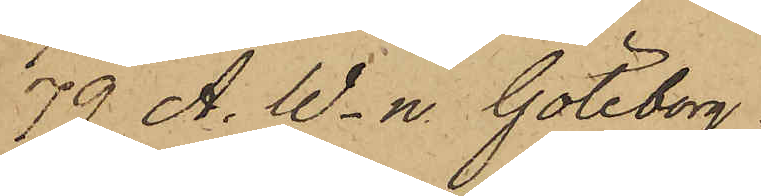79 A. W-n. Göteborg
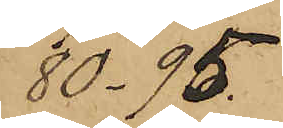80 - 95.
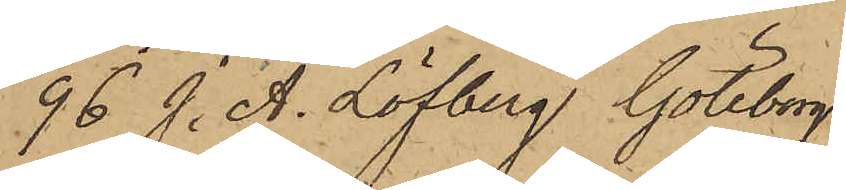96 J. A. Löfberg Göteborg
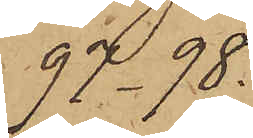97 - 78.
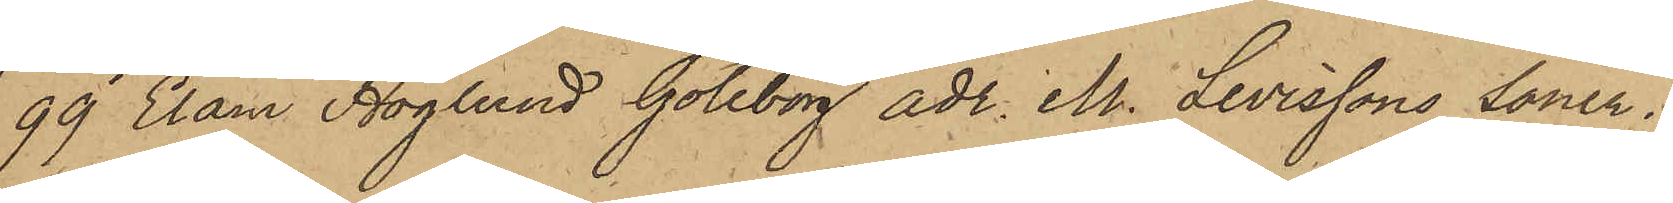99 Elam Höglund Göteborg adr. M. Levissons Söner.
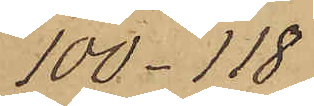100 - 118
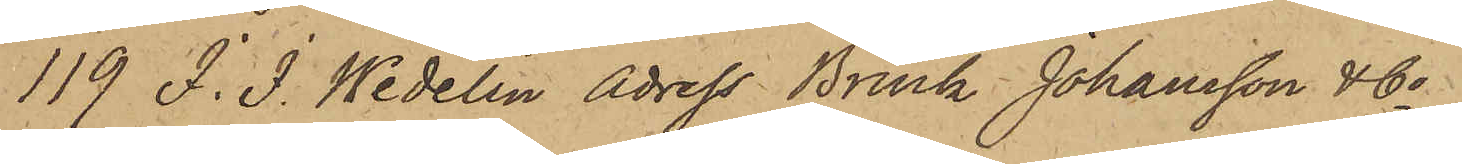119 J. J. Wedelin Adress Brink Johansson & Co
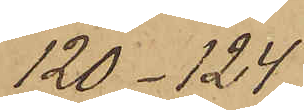120 - 124
